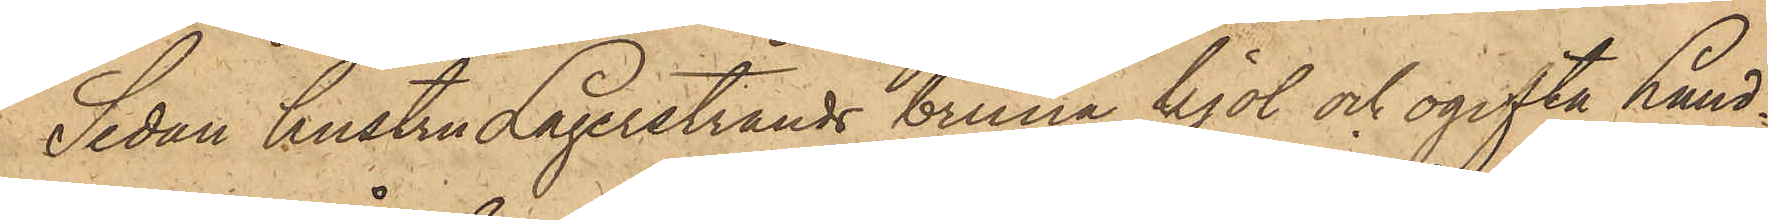Sedan hustru Lagerstrands bruna kjol och ogifta Lund¬
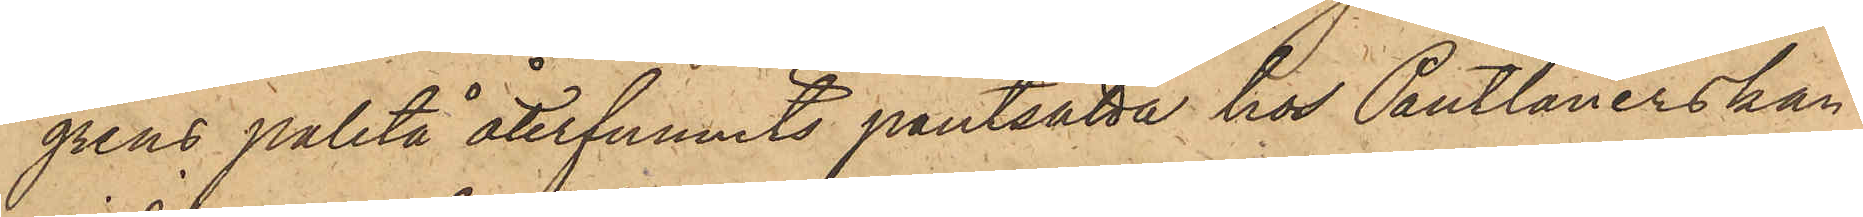grens paletå återfunnits pantsatta hos Pantlånerskan
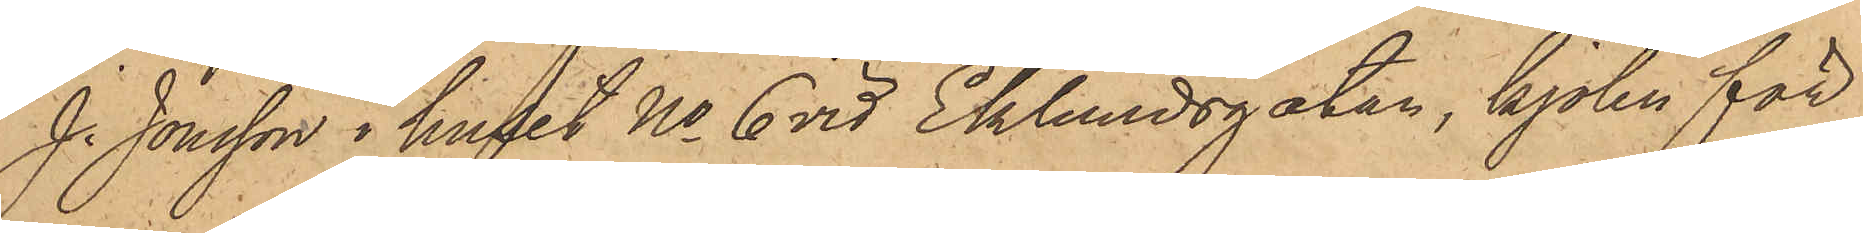J. Jonsson i huset No 6 vid Eklundsgatan, kjolen för
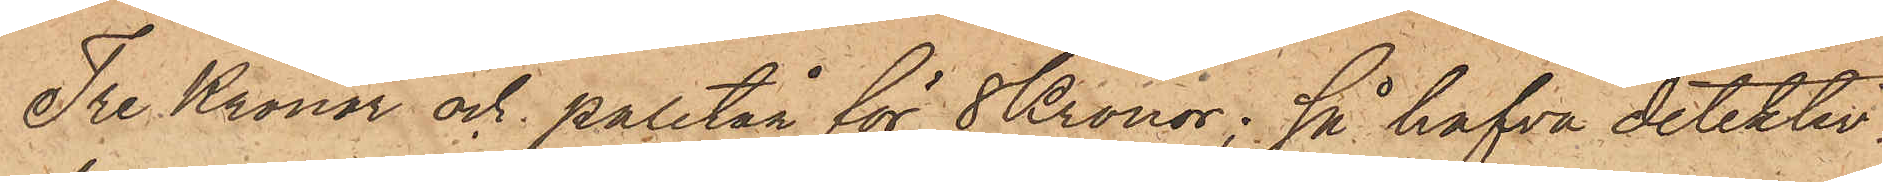Tre Kronor och paletån för 8 Kronor; så hafva detektiv¬
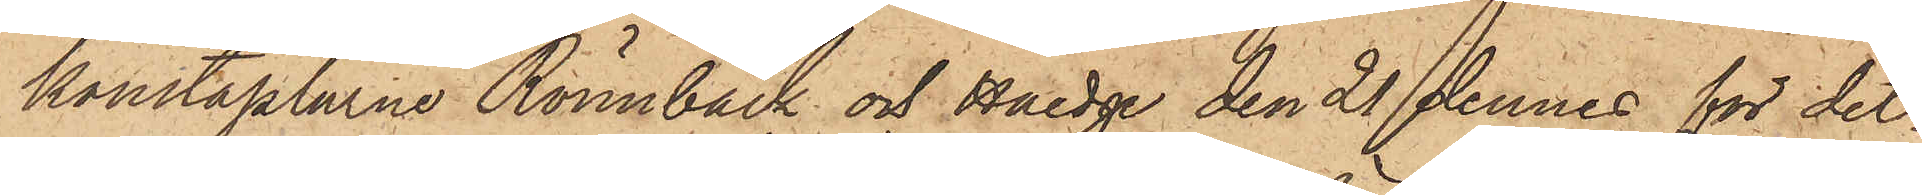konstaplarne Rönnbäck och Haedge den 21 dennes för det¬
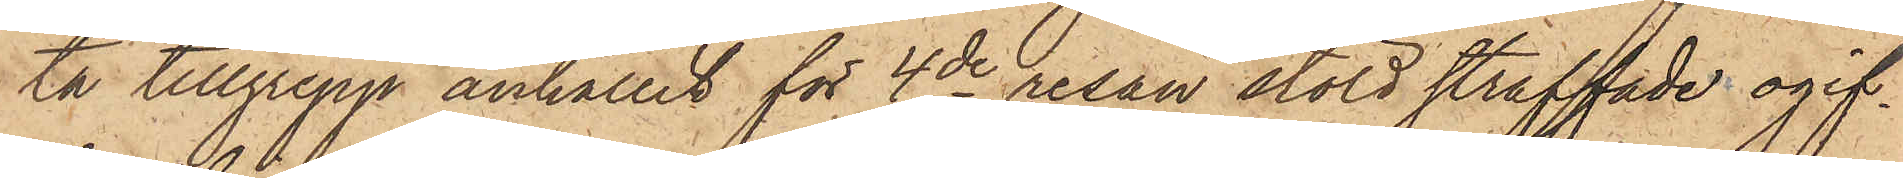ta tillgrepp anhållit för 4de resan stöld straffade ogif¬
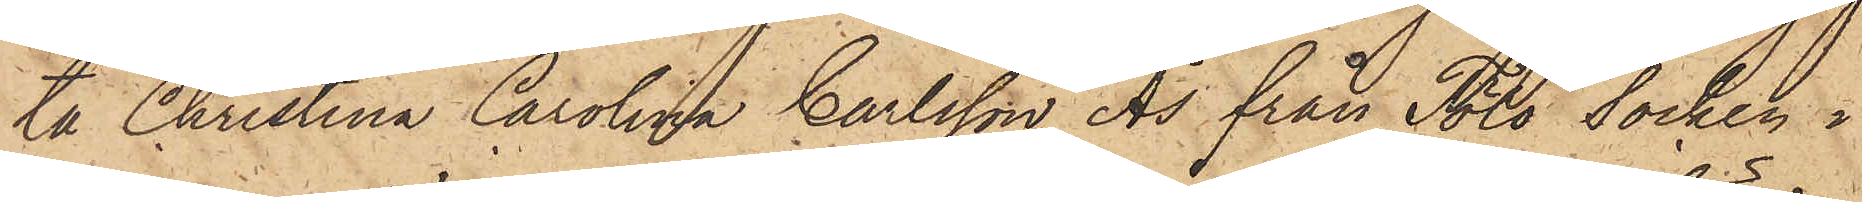ta Christina Carolina Carlsson Ås från Tölö Socken i
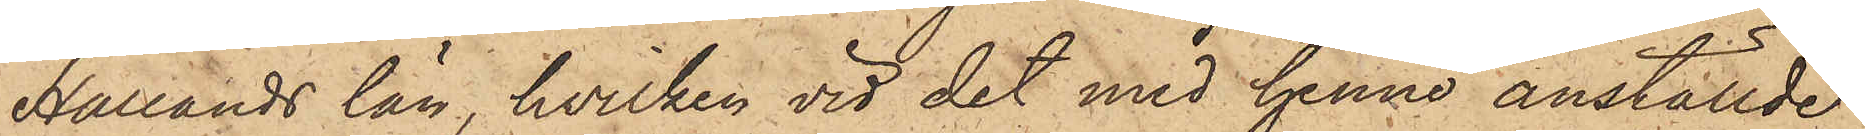Hallands län, hvilken vid det med henne anställde
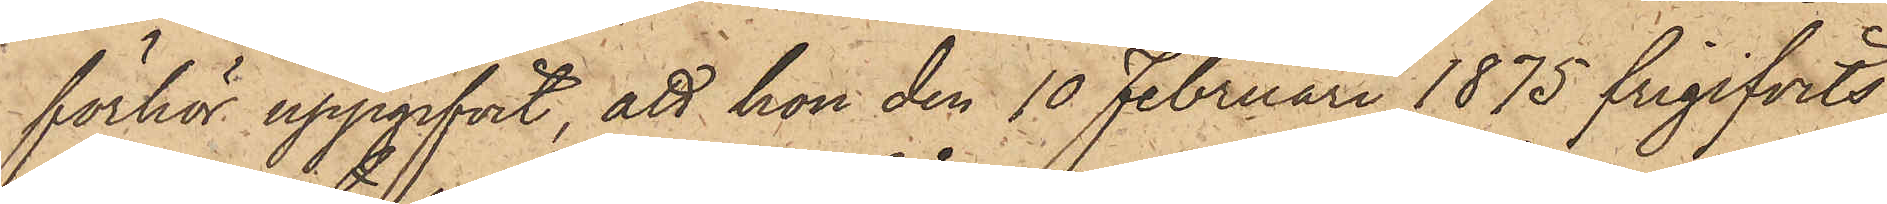förhör uppgifvit, att hon den 10 Februari 1875 frigifvits
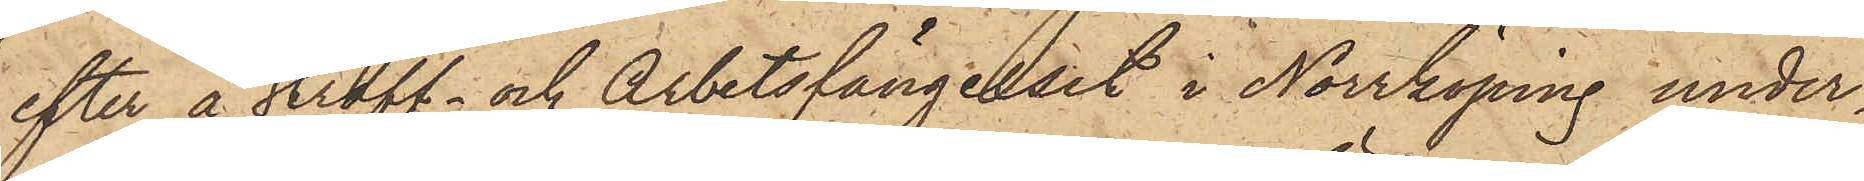efter å straff- och Arbetsfängelset i Norrköping under¬
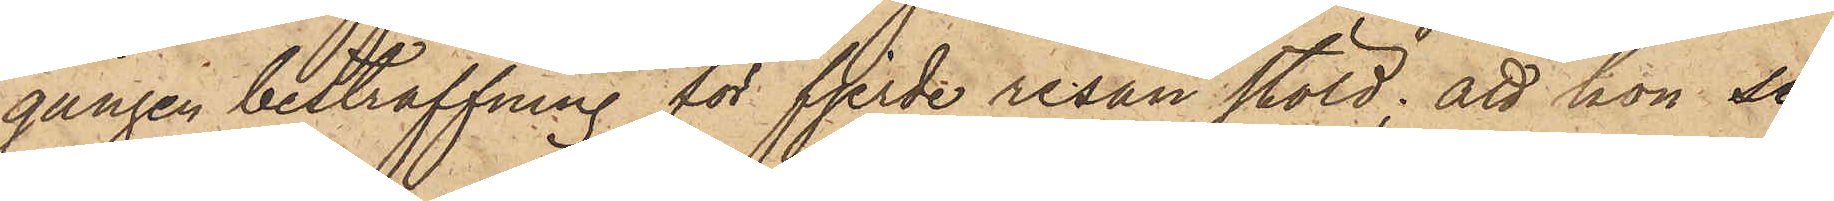gången bestraffning för fjerde resan stöld; att hon se¬
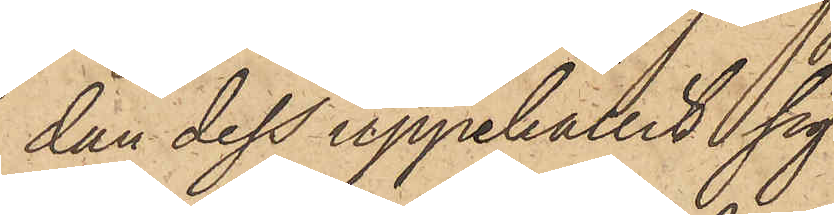dan dess uppehållit sig
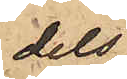dels
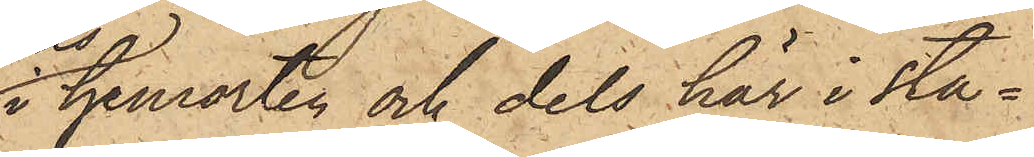i hemorten och dels här i sta¬
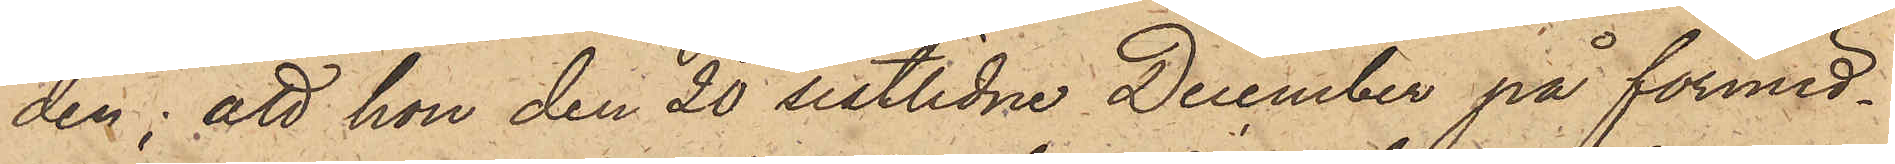den; att hon den 20 sistlidne December på förmid¬
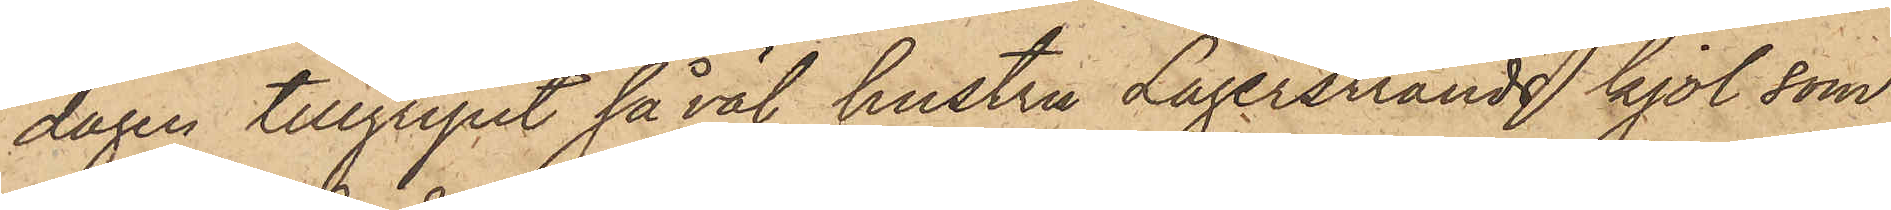dagen tillgripit såväl hustru Lagerstrands kjol som
